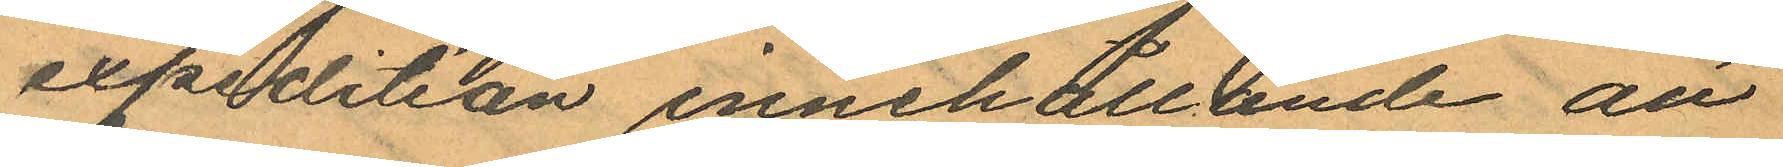expedition innehållande att
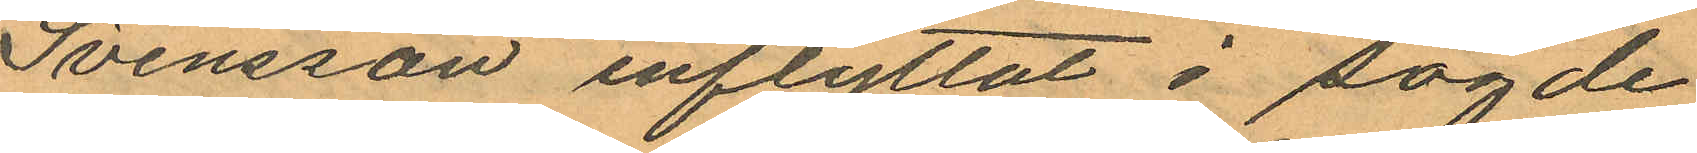Svensson inflyttat i sagde
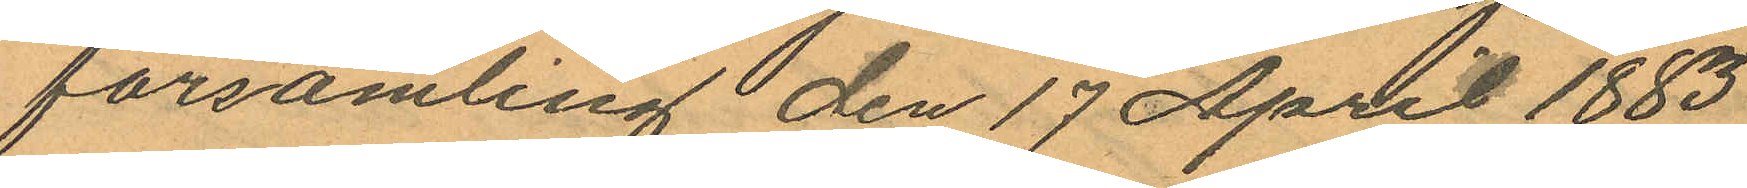församling den 17 April 1883
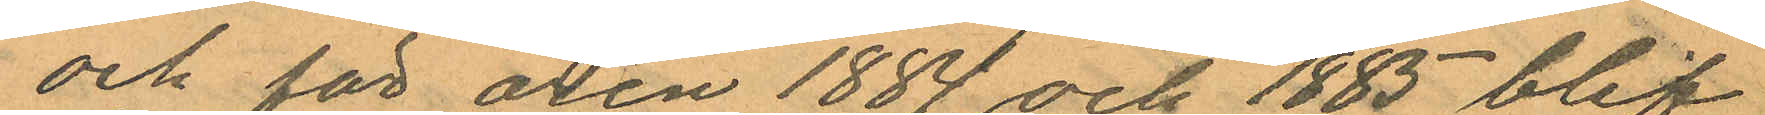och för åren 1884 och 1885 blif¬
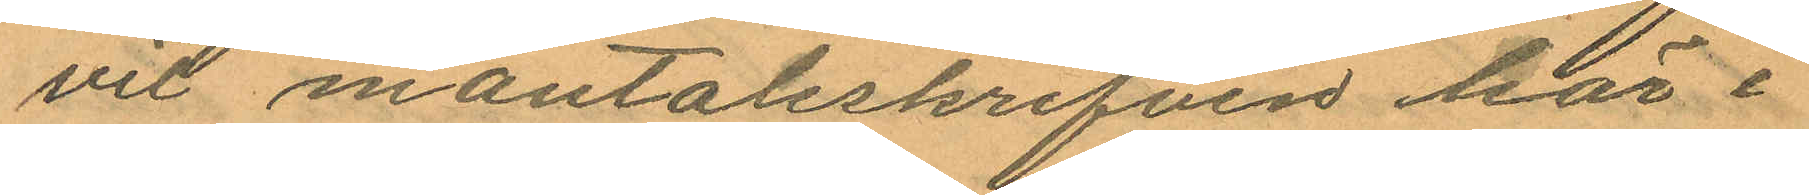vit mantalsskrifven här i
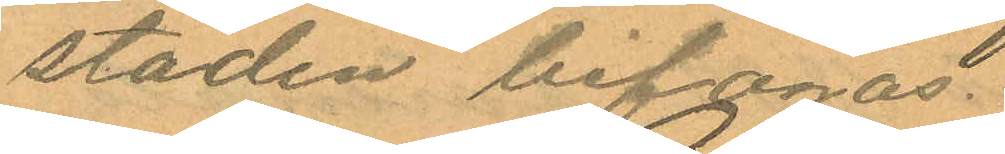staden bifogas.
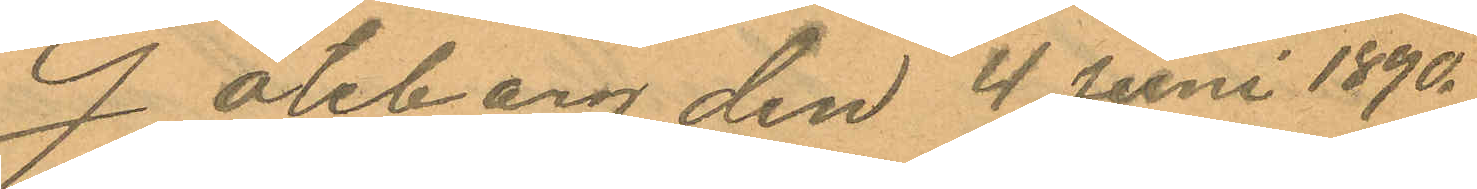Göteborg den 4 Juni 1890.
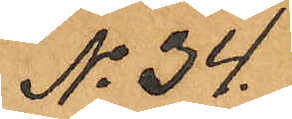No 34.
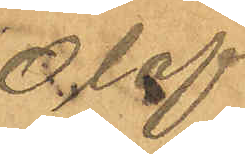Olof
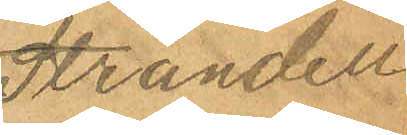Strandell.
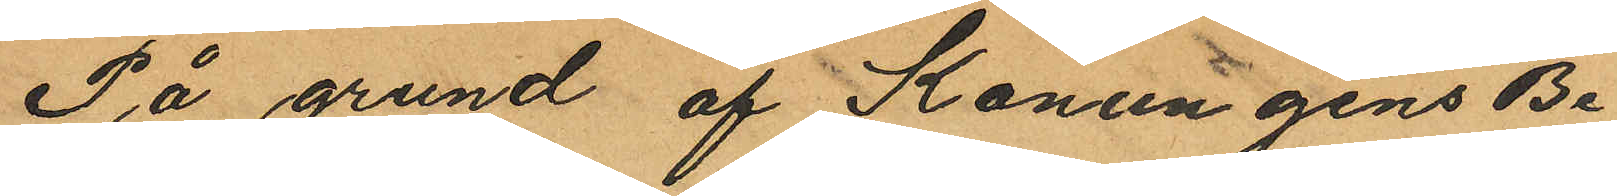På grund af Konungens Be¬
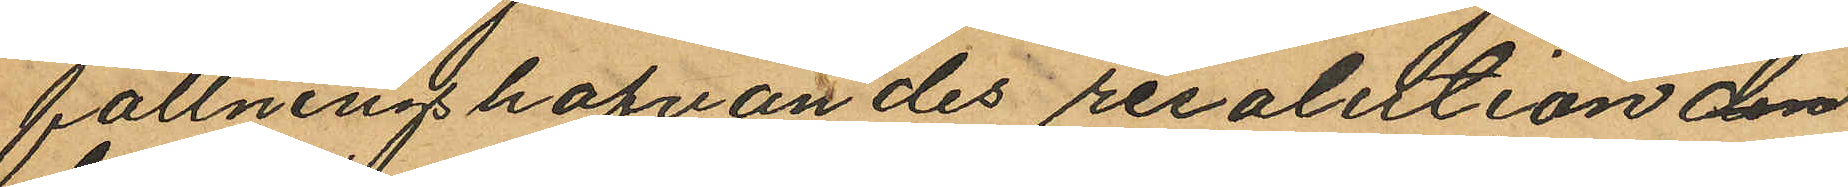fallninghafvandes resolution den
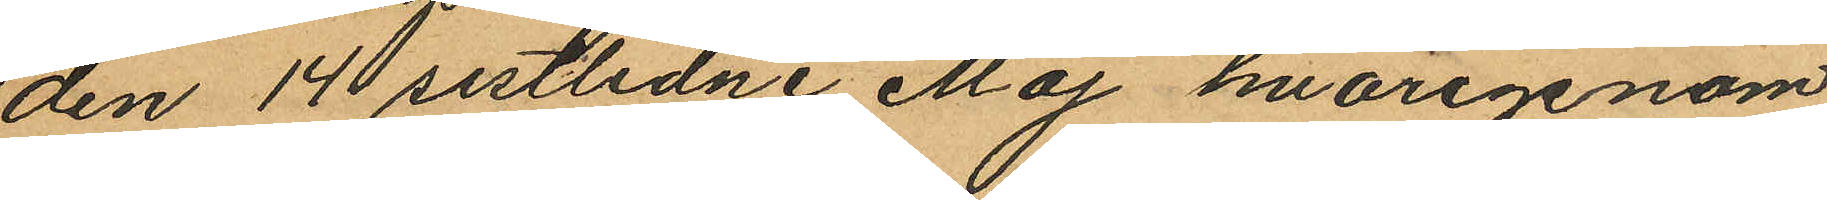den 14 sistlidne Maj hvarigenom
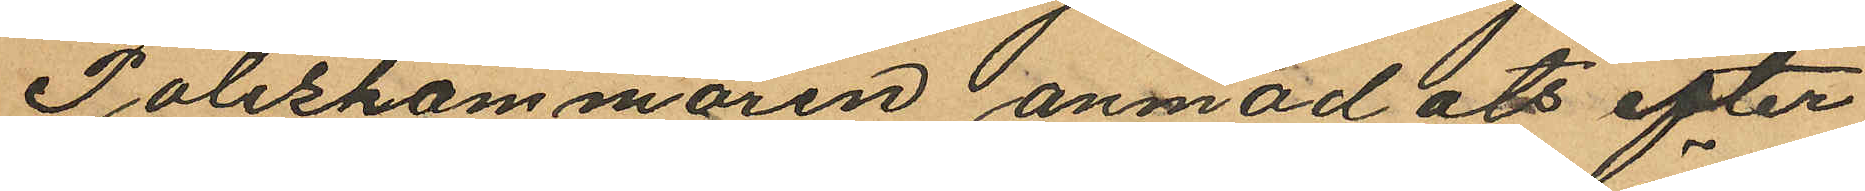Poliskammaren anmodats efter¬
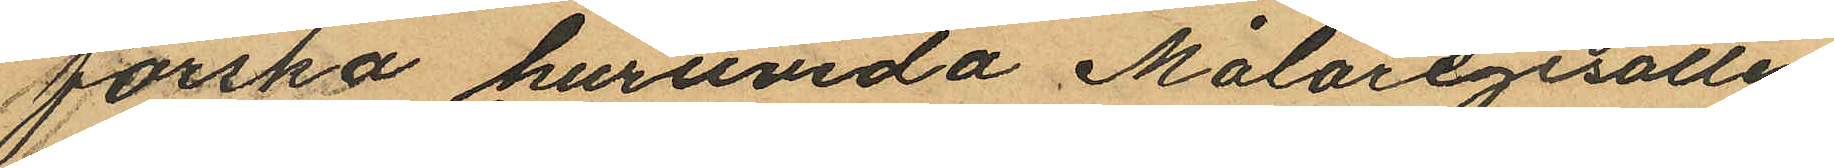forska huruvida Målaregesällen
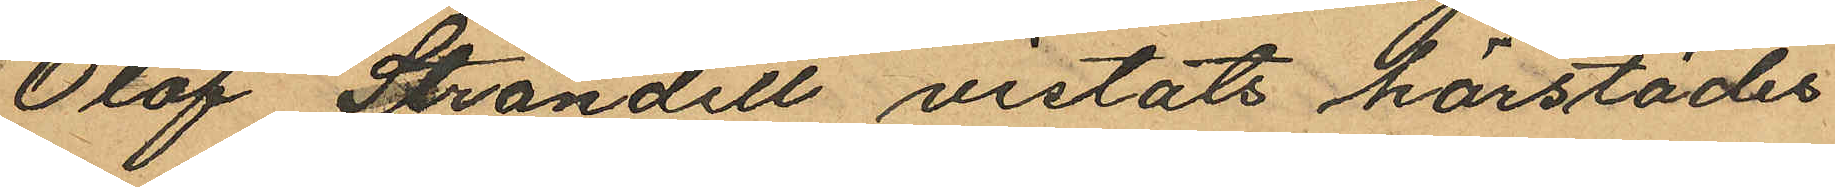Olof Strandell vistats härstädes
